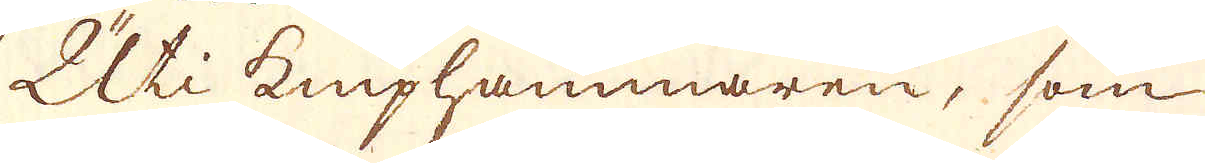Uti kniphammaren, som
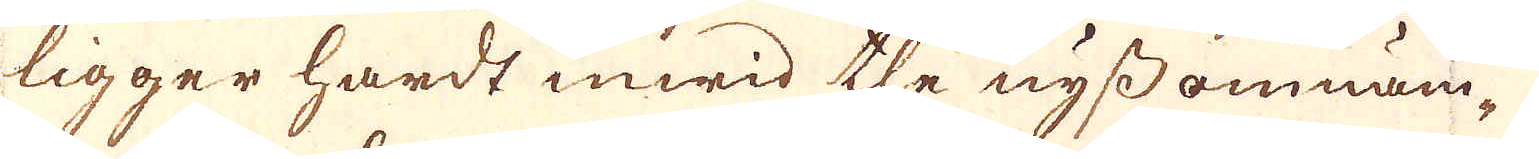ligger hardt inwid the nyssomnäm-
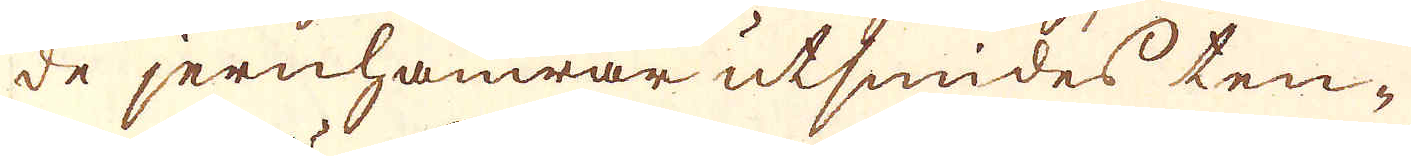de jernhamrar utsmides ten-
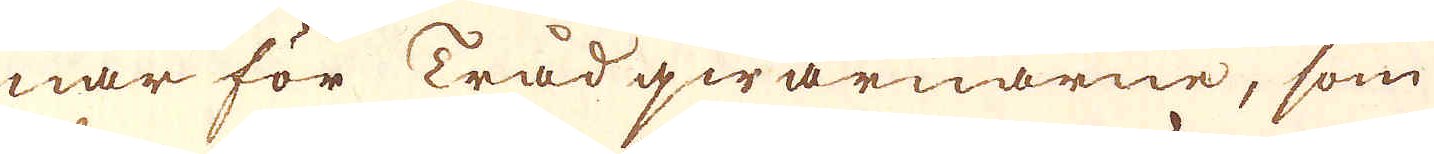nar för Trådqwarnarne, som
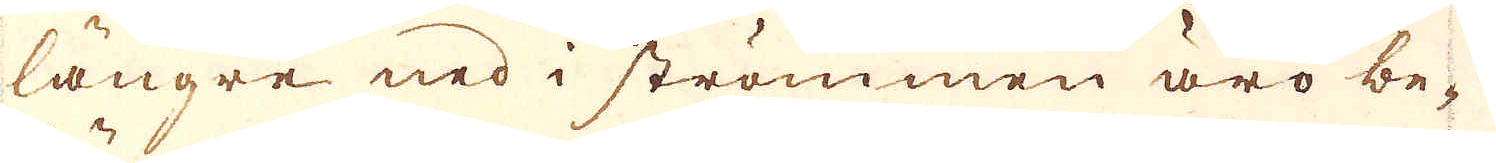längre ned i strömmen äro be-
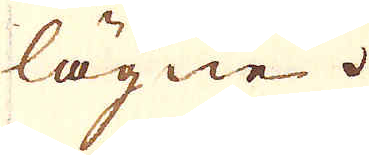lägne.
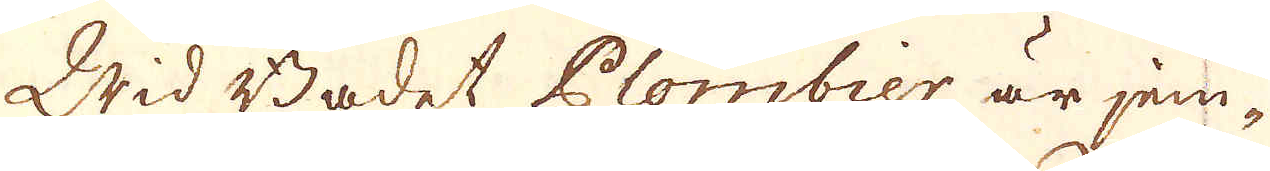Wid Badet Plombier är jem-
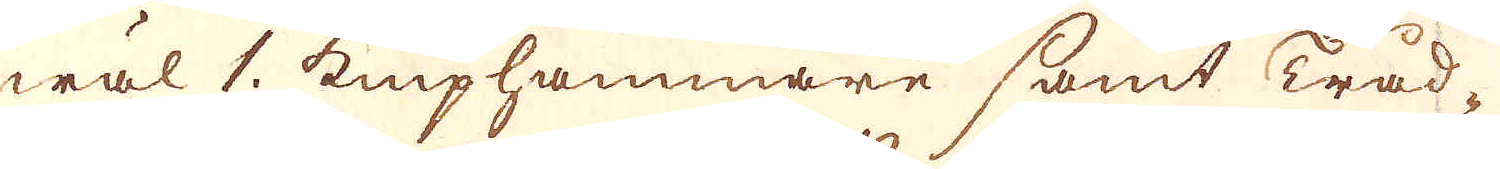wäl 1. kniphammare samt Tråd-
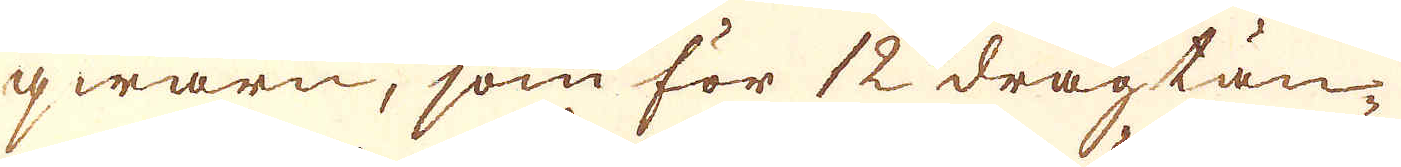qwarn, som för 12 dragtän-
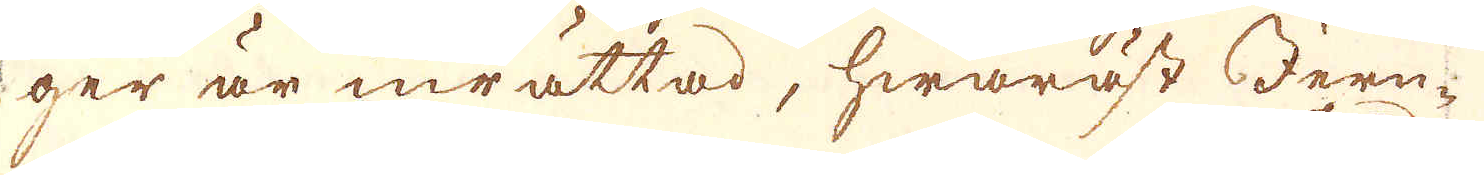ger är inrättad, hwaräst Jern-
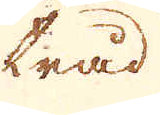tråd
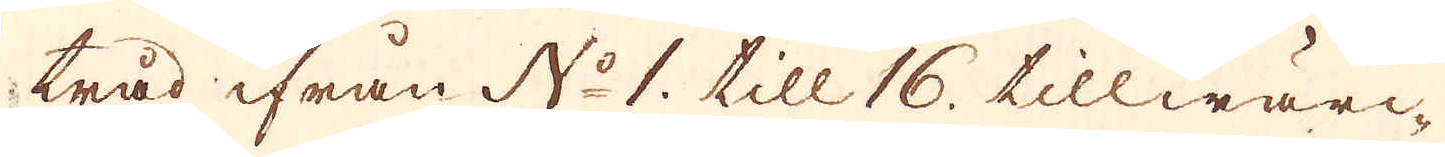tråd ifrån No 1. till 16. tillwärc-
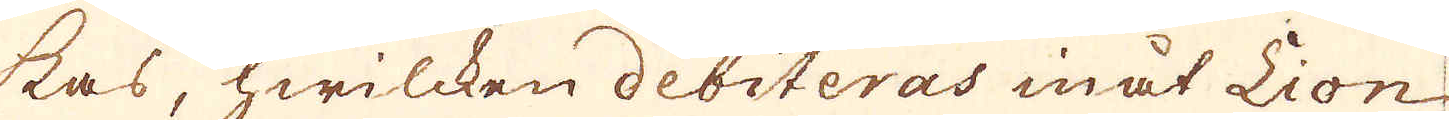kas, hwilcken debiteras inåt Lion
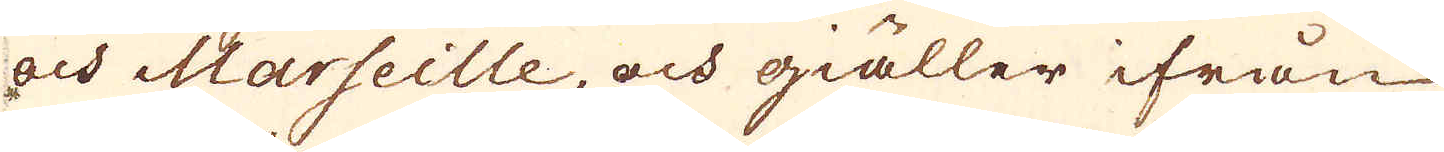och Marseille, och giäller ifrån
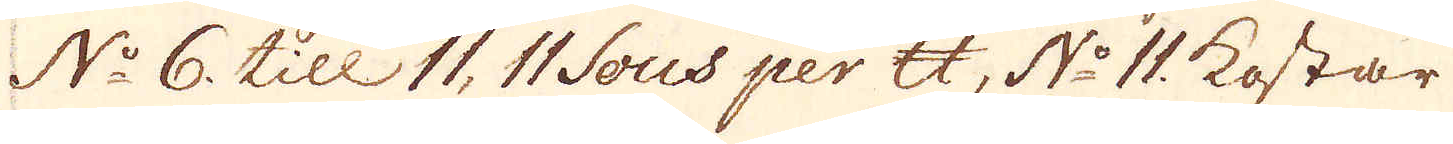No 6 till 11, 11 Sous per skålpund, No 11. kostar
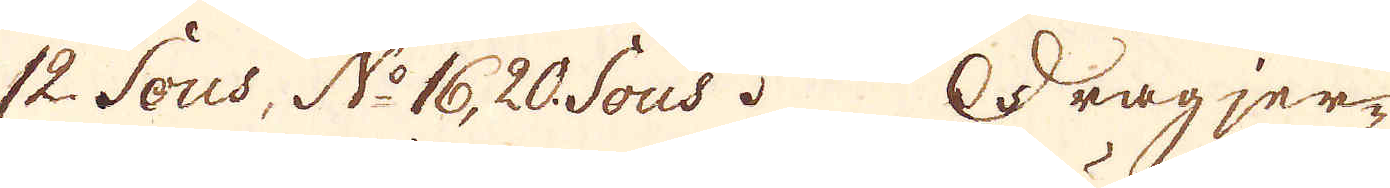12 Sous, No 16, 20 Sous. Dragjer-
